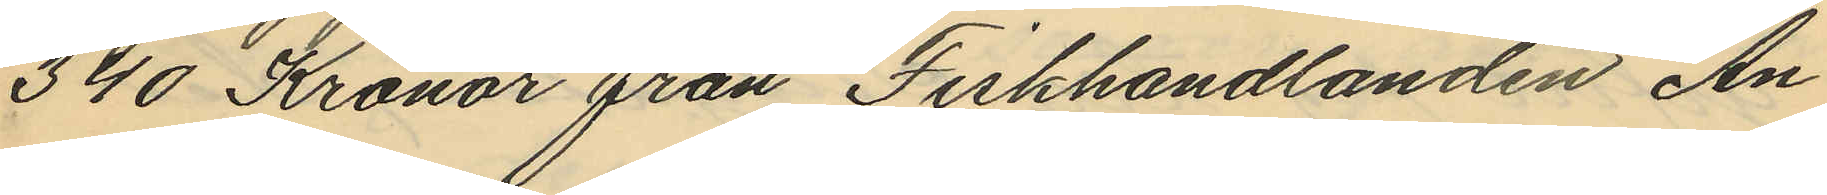340 Kronor från Fiskhandlanden An¬
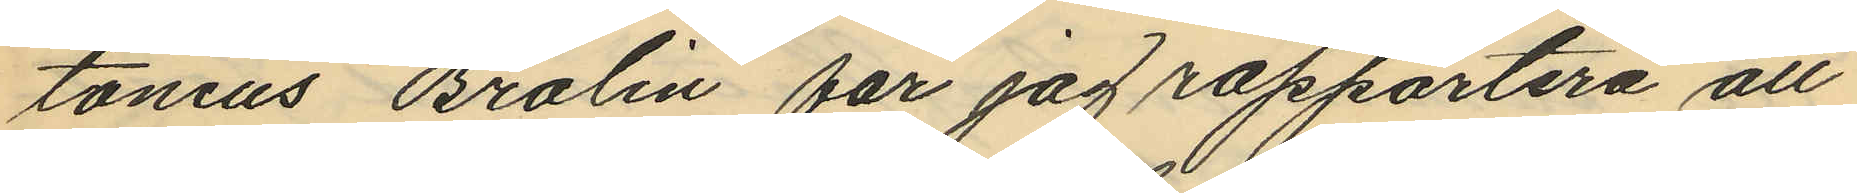tonius Brolin får jag rapportera att
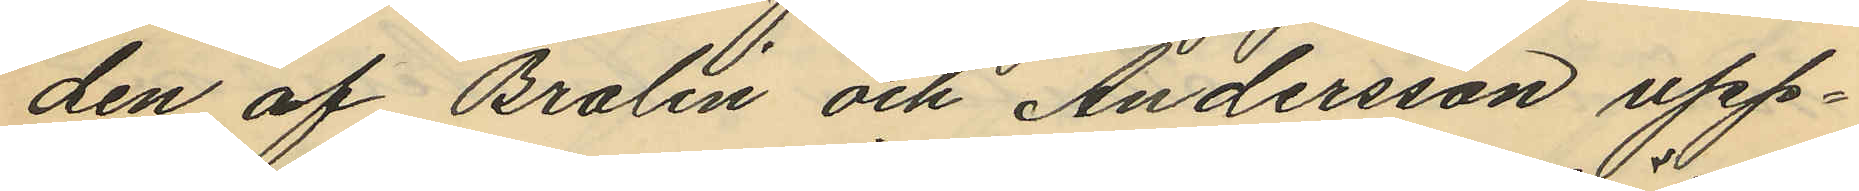den af Brolin och Andersson upp¬
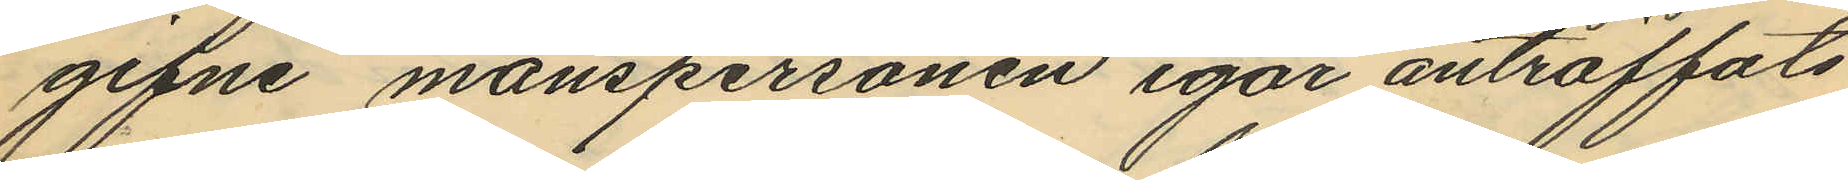gifne manspersonen igår anträffats
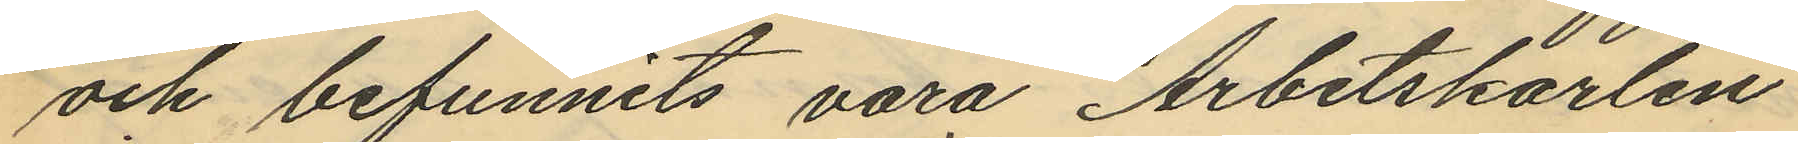och befunnits vara Arbetskarlen
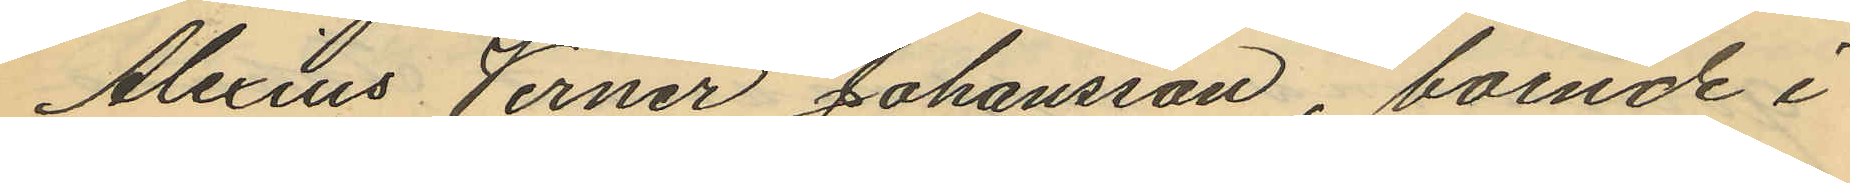Alexius Verner Johansson, boende i
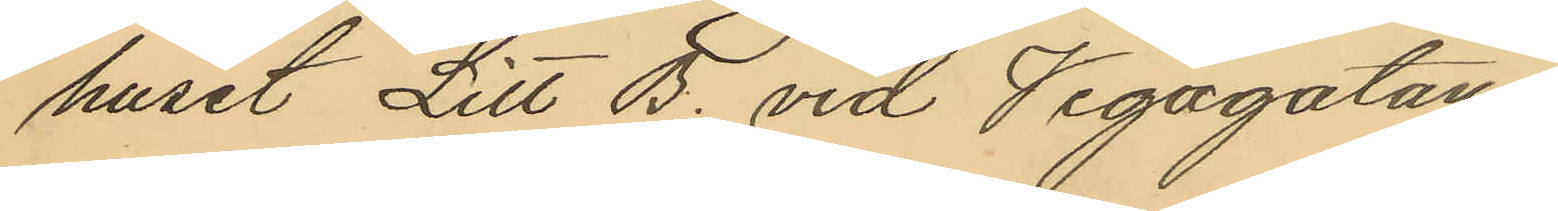huset Litt B. vid Vegagatan.
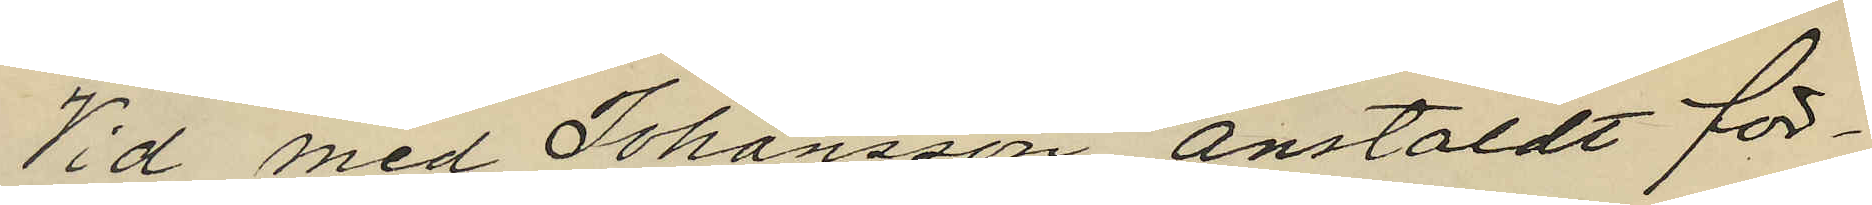Vid med Johansson anstäldt för¬
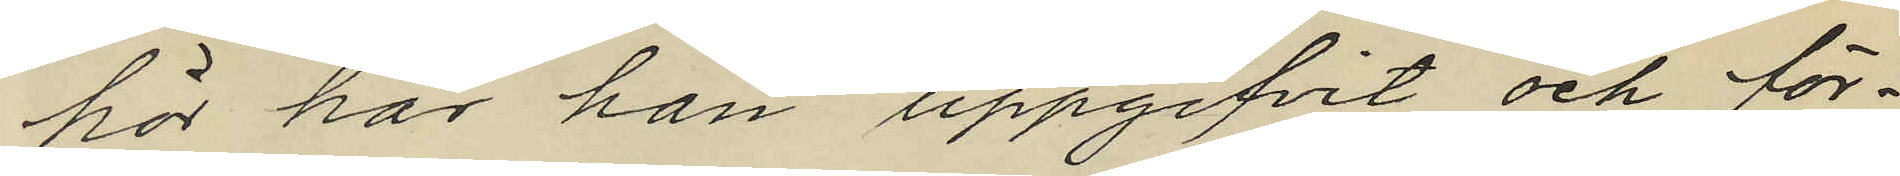hör har han uppgifvit och för¬
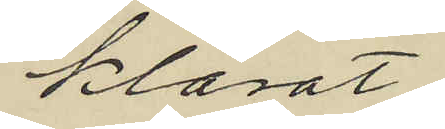klarat:
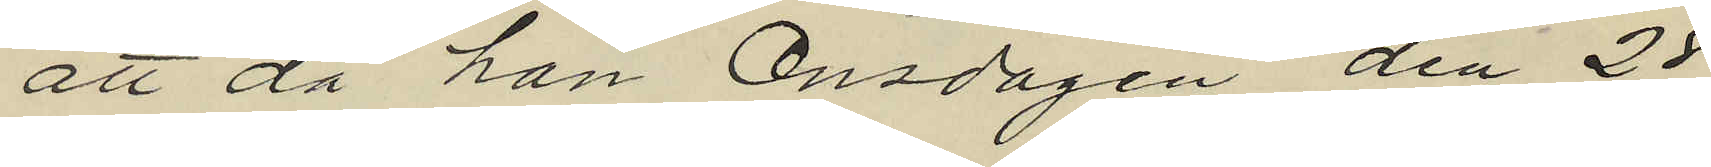att då han Onsdagen den 28
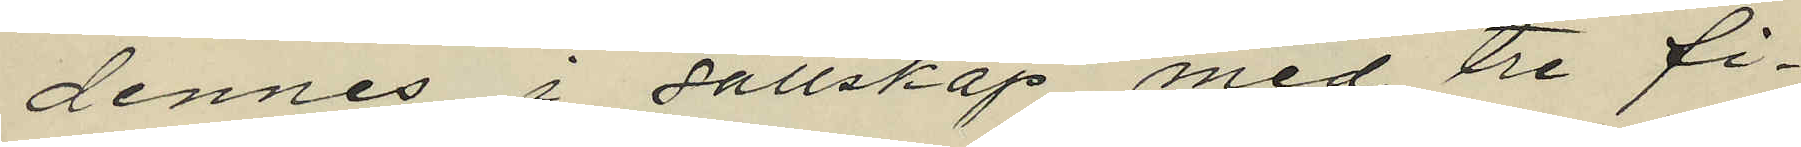dennes i sällskap med tre fi¬
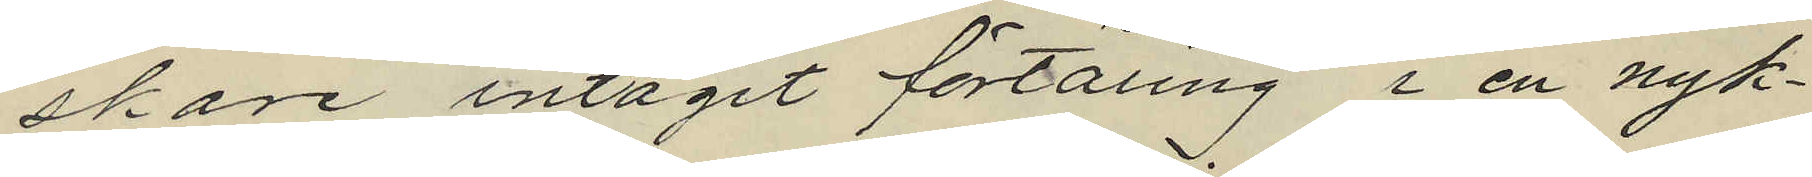skare intagit förtäring i en nyk¬
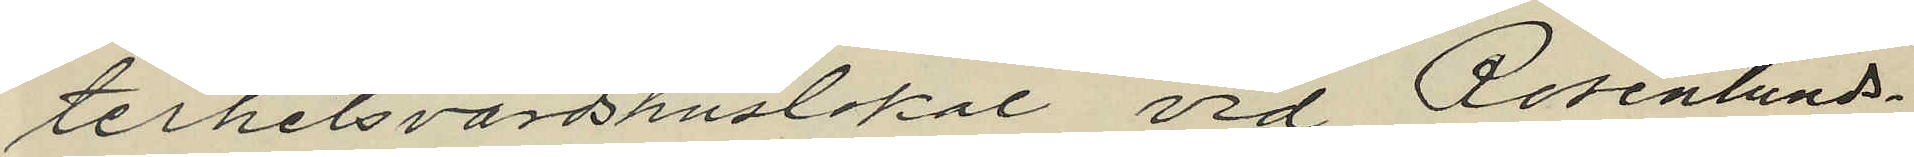terhetsvärdshuslokal vid Rosenlunds¬
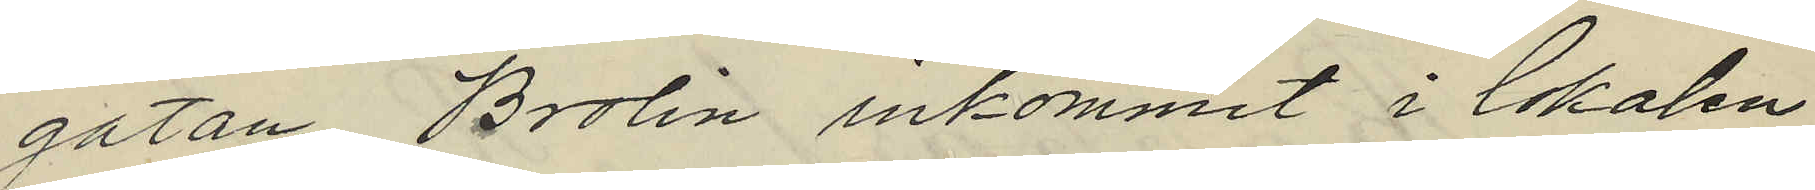gatan, Brolin inkommit i lokalen
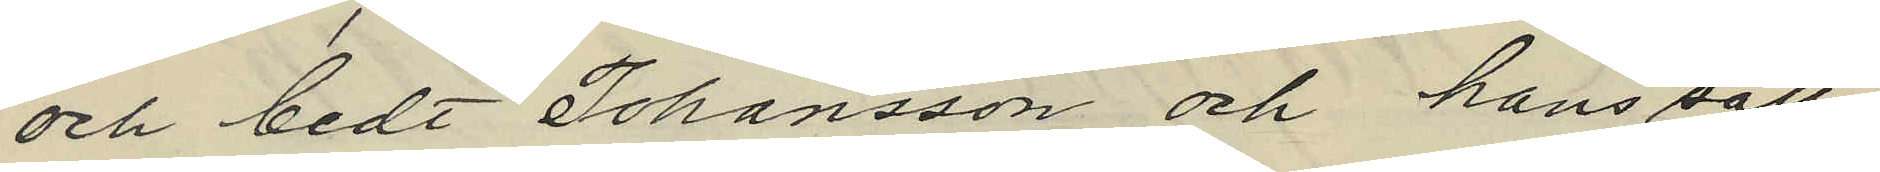och bedt Johansson och hans säll¬
